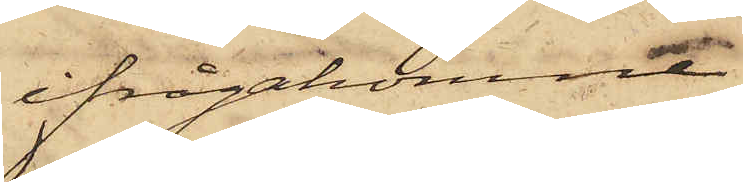ifrågakomne
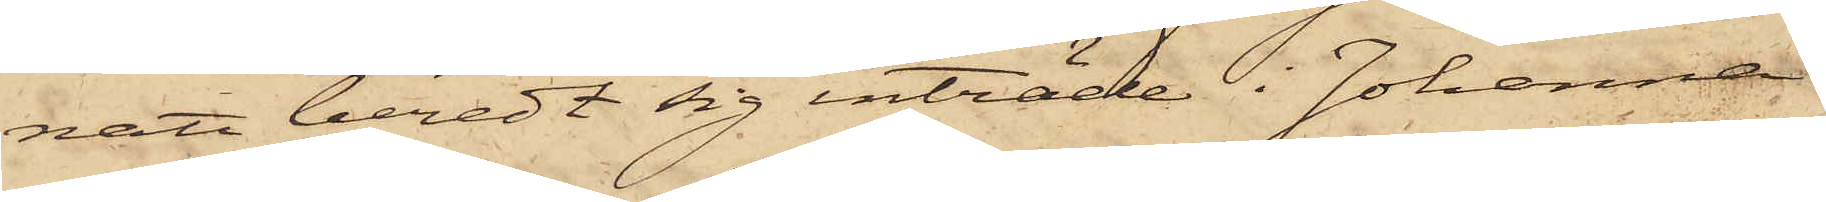natt beredt sig inträde i Johanna
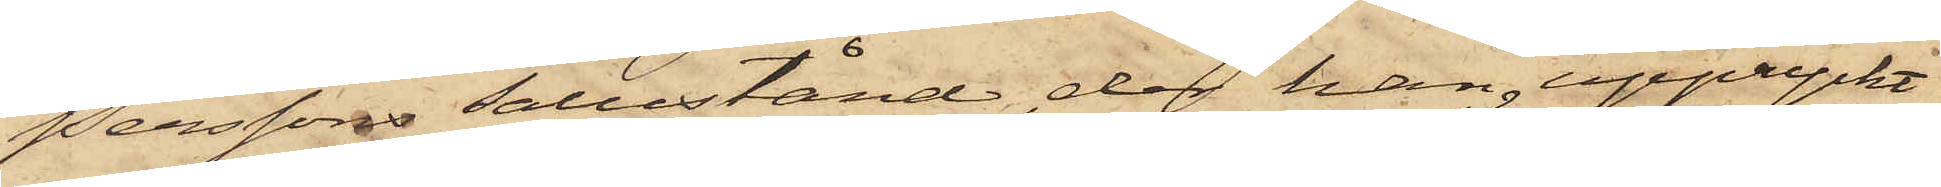Perssons salustånd, der han uppryckt
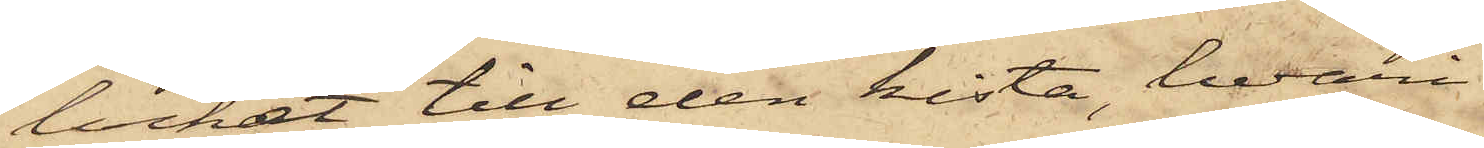locket till den kista, hvari
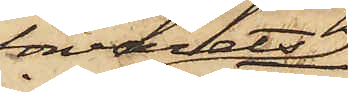förvarats
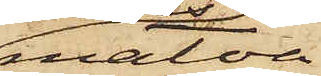matva¬
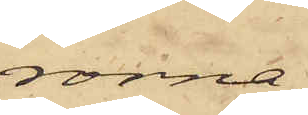rorna,
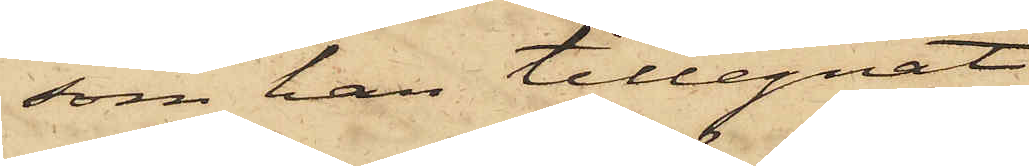som han tillegnat
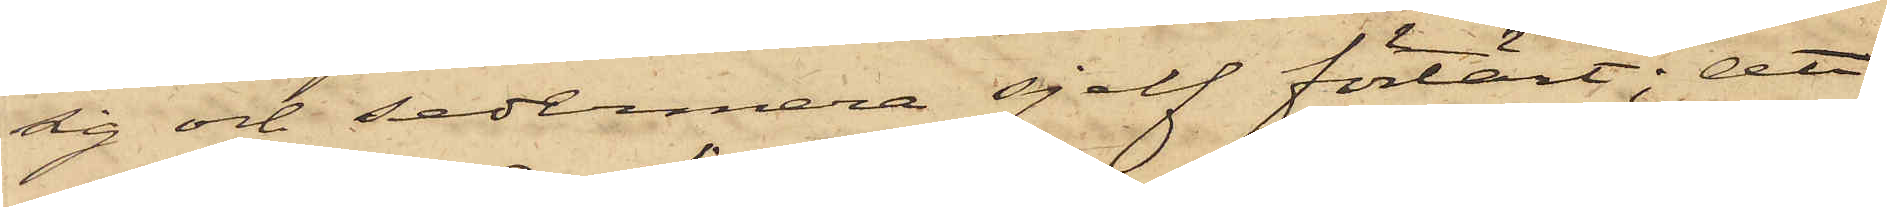sig och sedermera sjelf förtärt; att
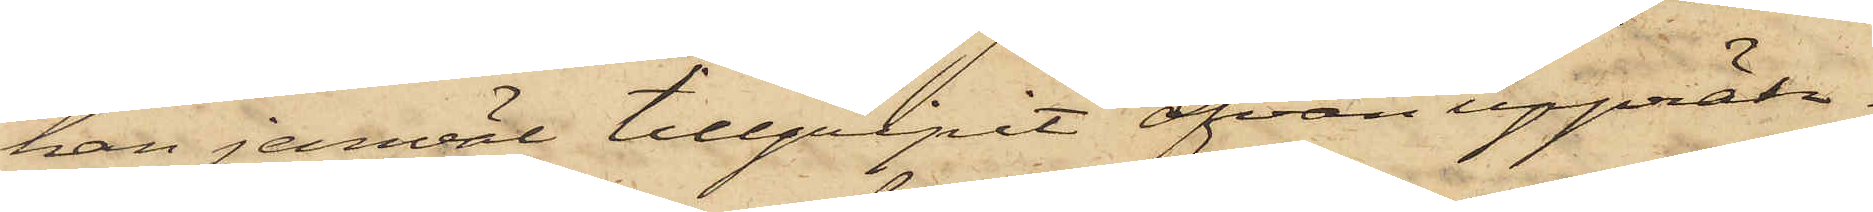han jemväl tillgripit ofvan uppräk¬
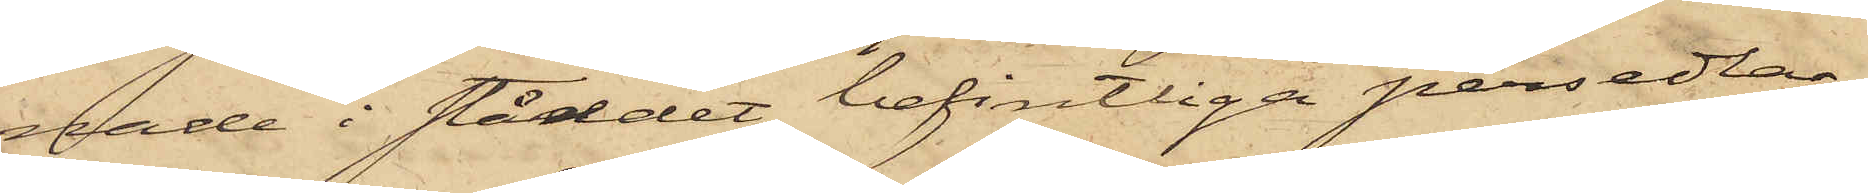nade i ståndet befintliga persedlar,
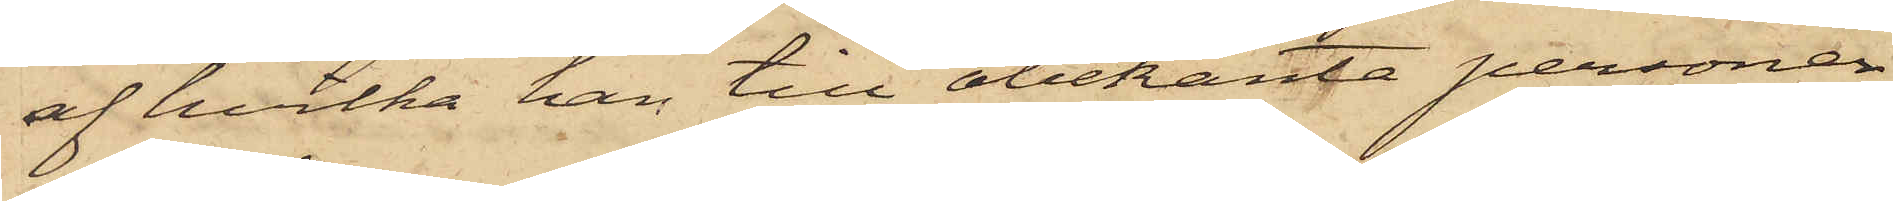af hvilka han till obekanta personer
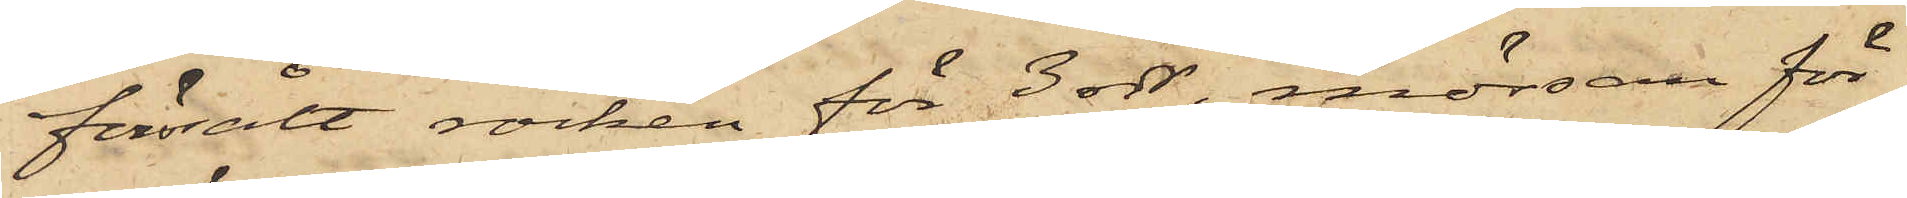försålt rocken för 3 rdr, mössan för
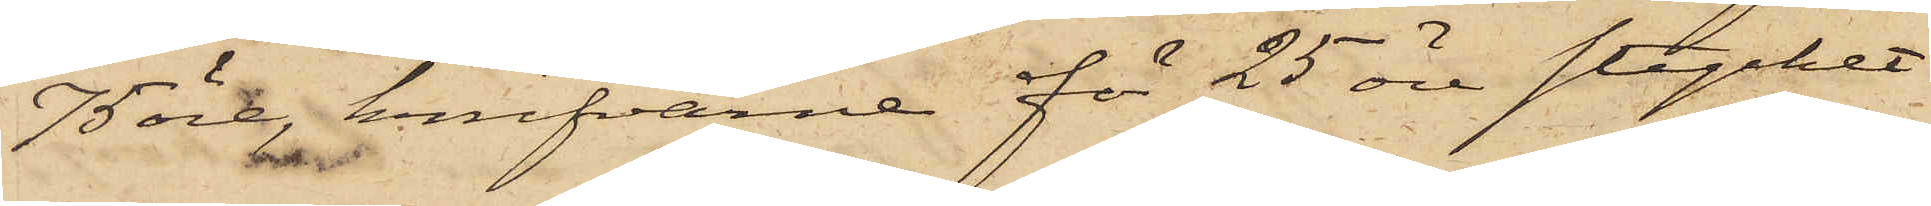75 öre, knifvarne för 25 öre stycket
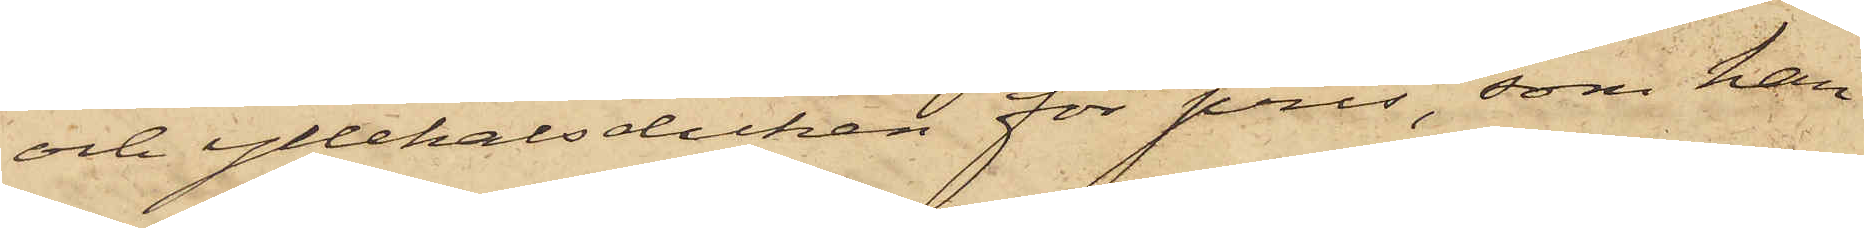och yllehalsduken för pris, som han
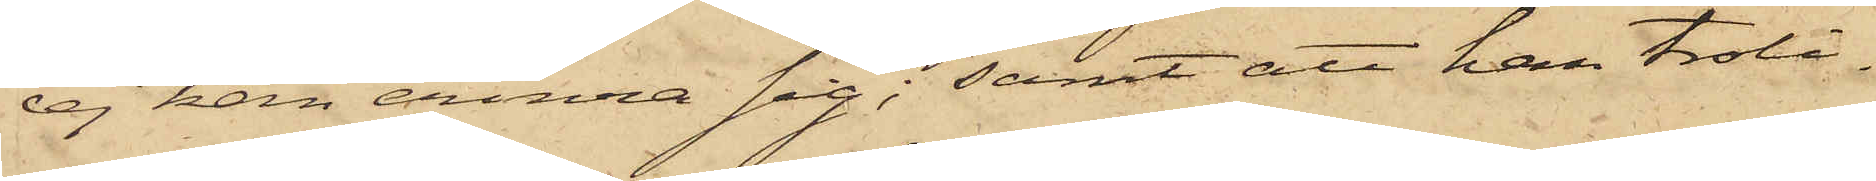ej han erinra sig; samt att han troli¬
